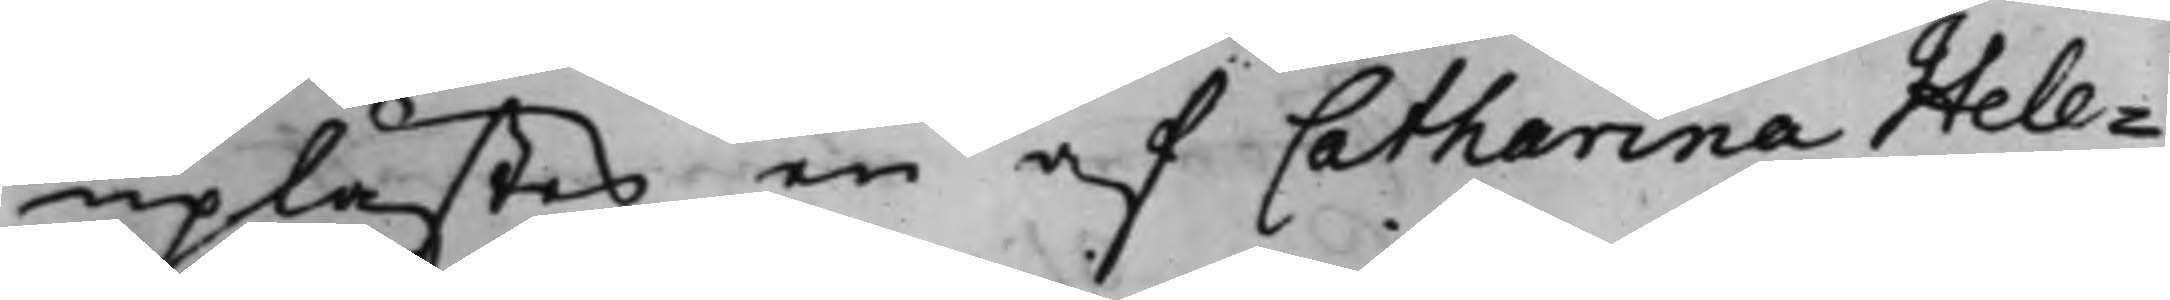uplästes en af Catharina Hele¬
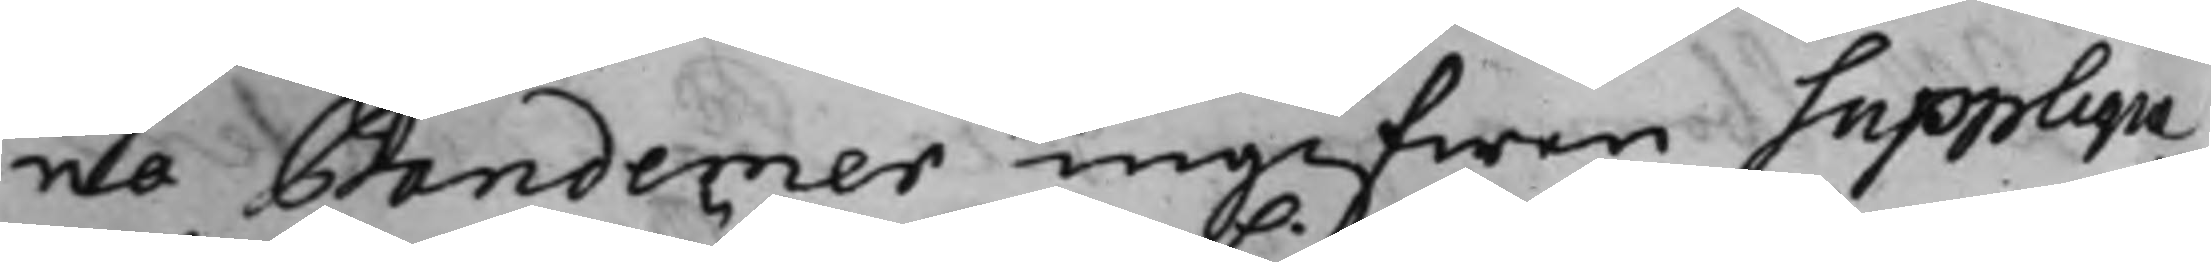na Bandemer ingifwen Supplique,
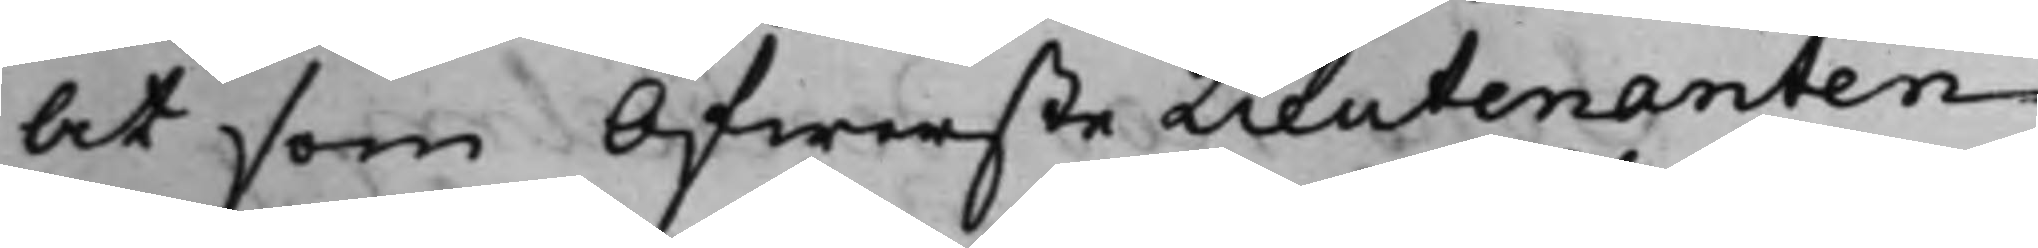At som ÖfwersteLieutenanten
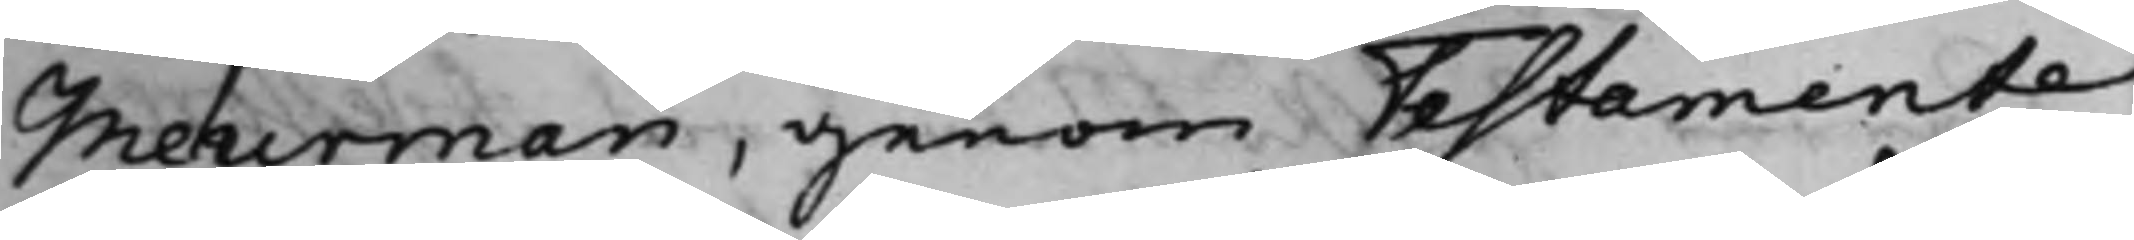Meurman, genom Testamente
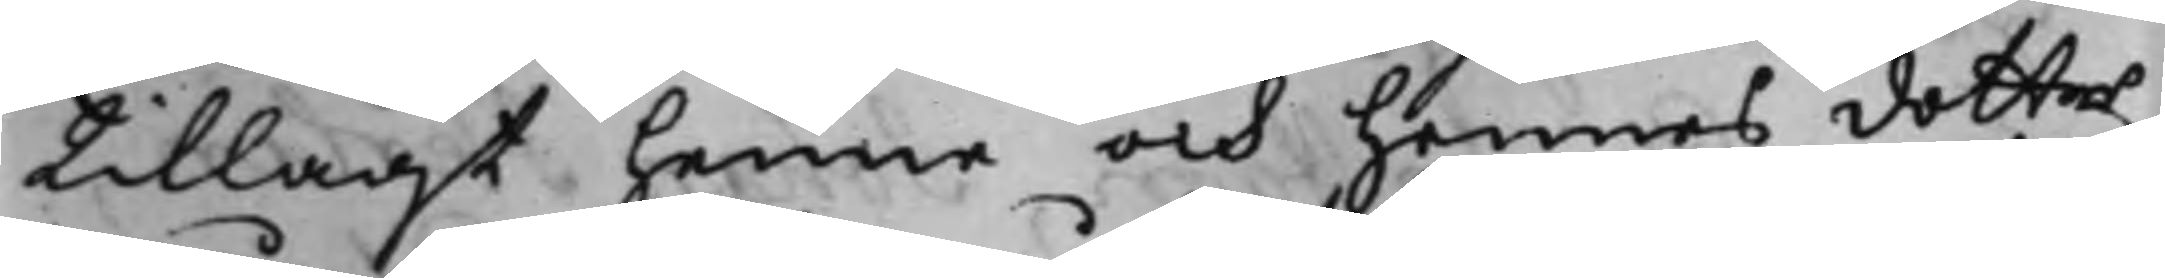tillagt henne och hennes dotter
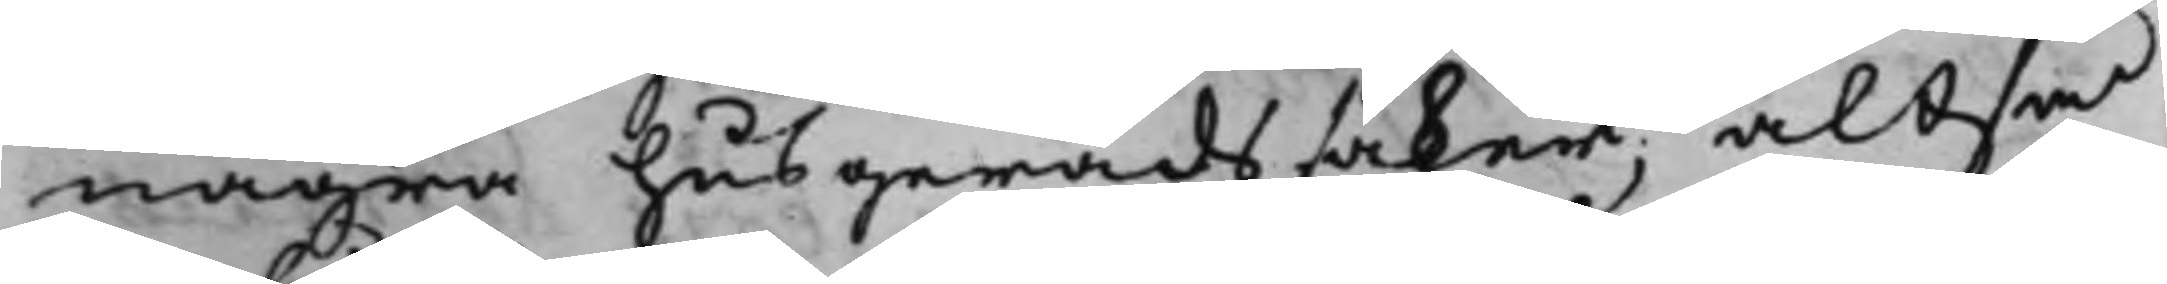några husgeråds saker, altså
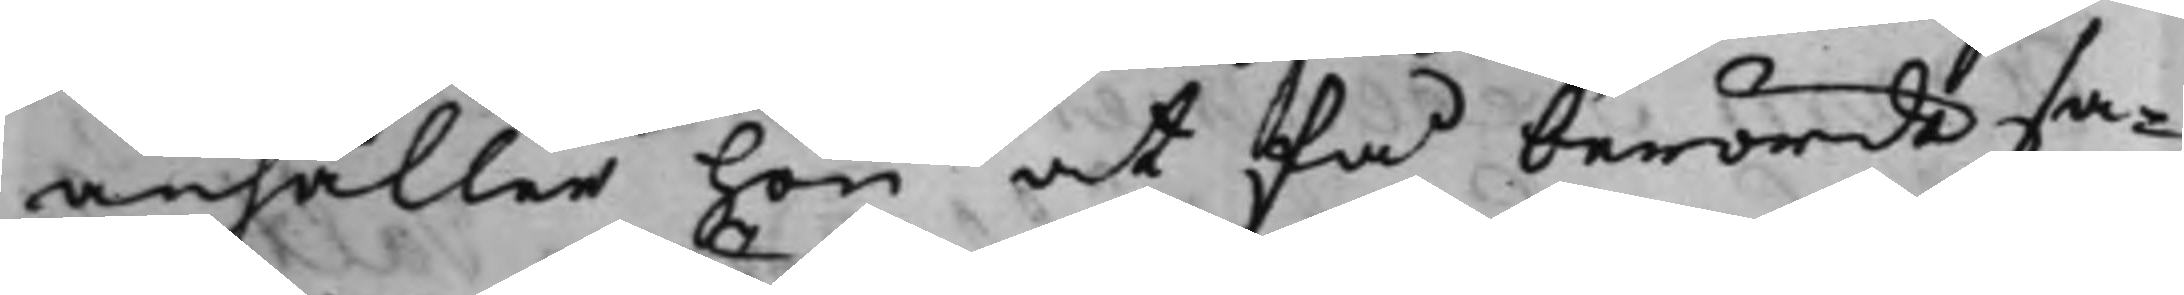anhåller hon at få berörde sa¬
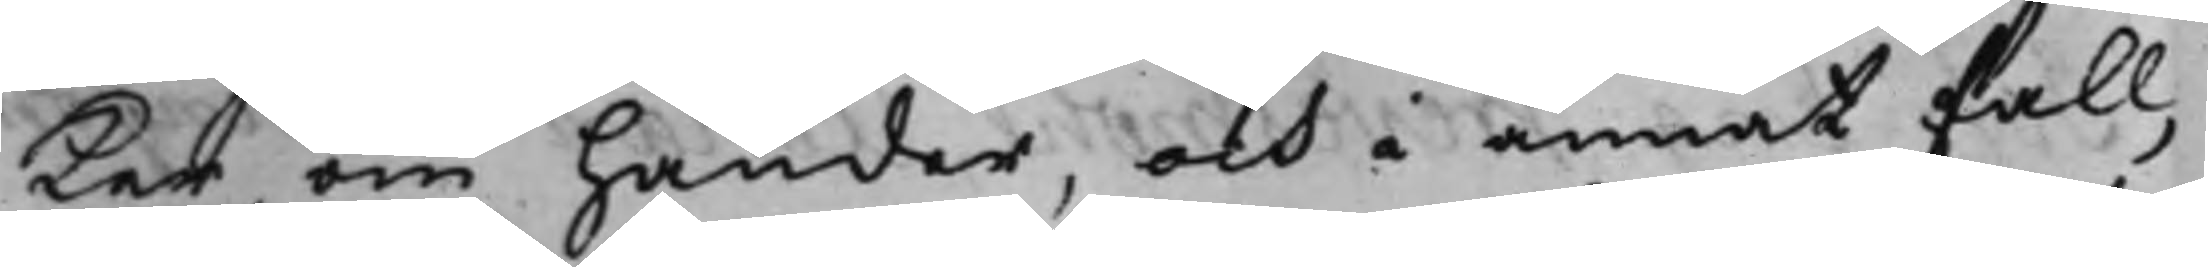ker om händer, och i annat fall,
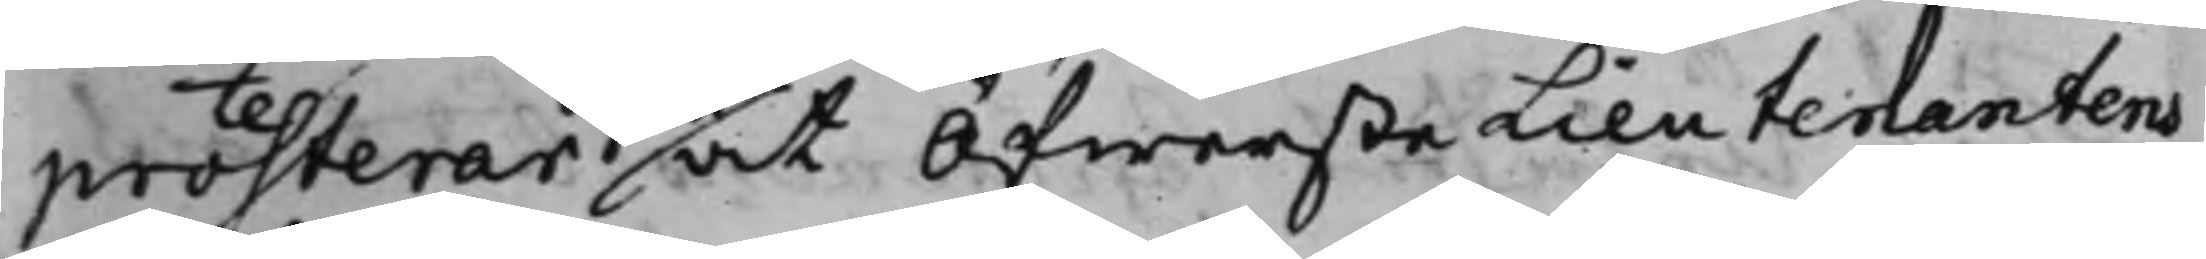protesterar at ÖfwersteLieutenantens
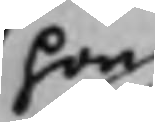hon
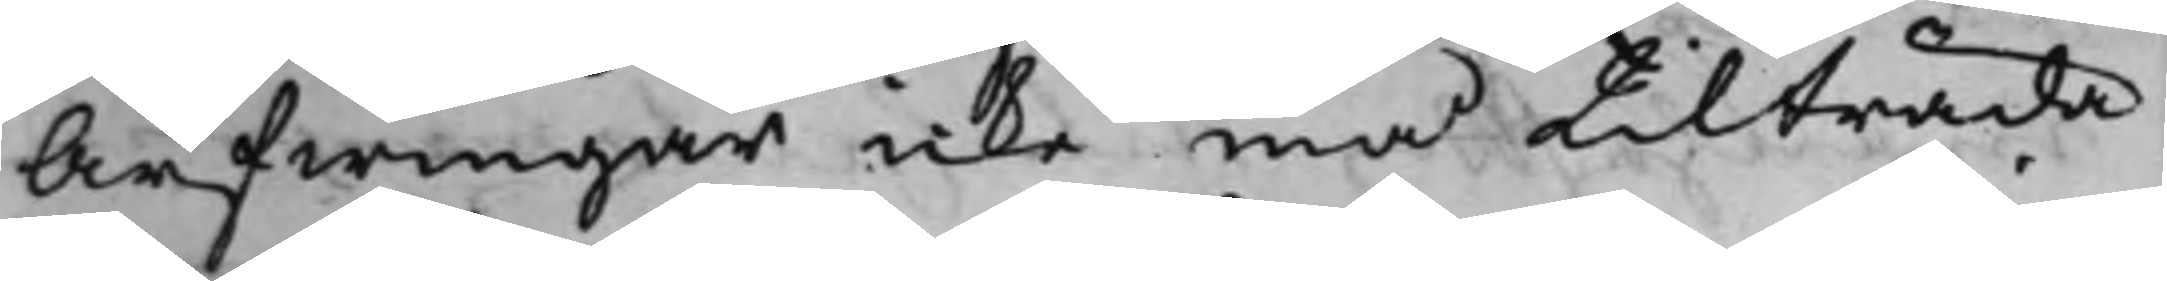Arfwingar icke må tilträda
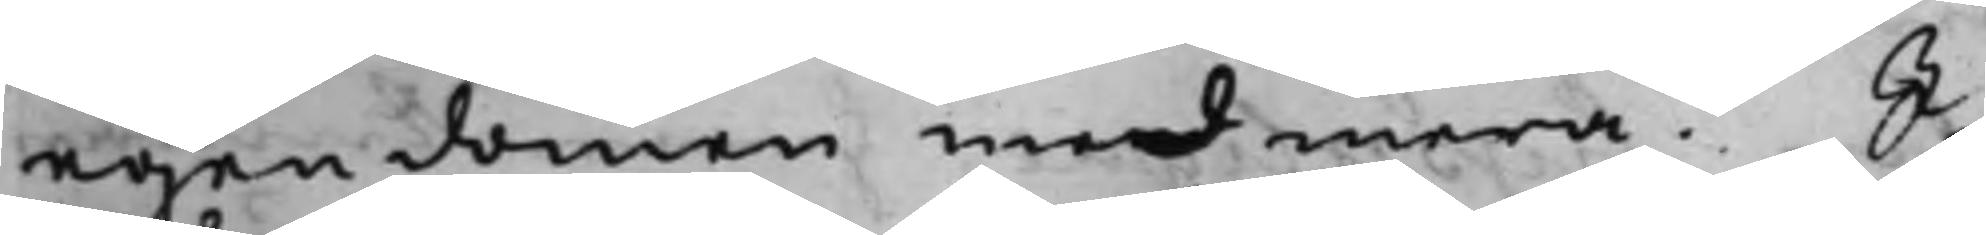egendomen med mera. I
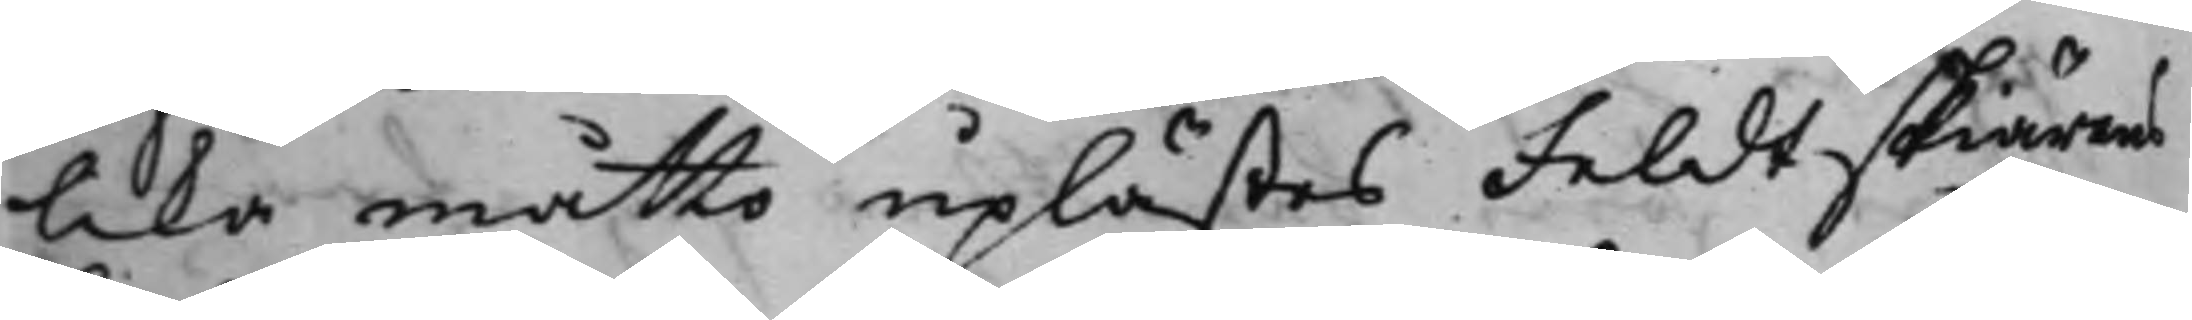lika måtto uplästes Feldtskiärens
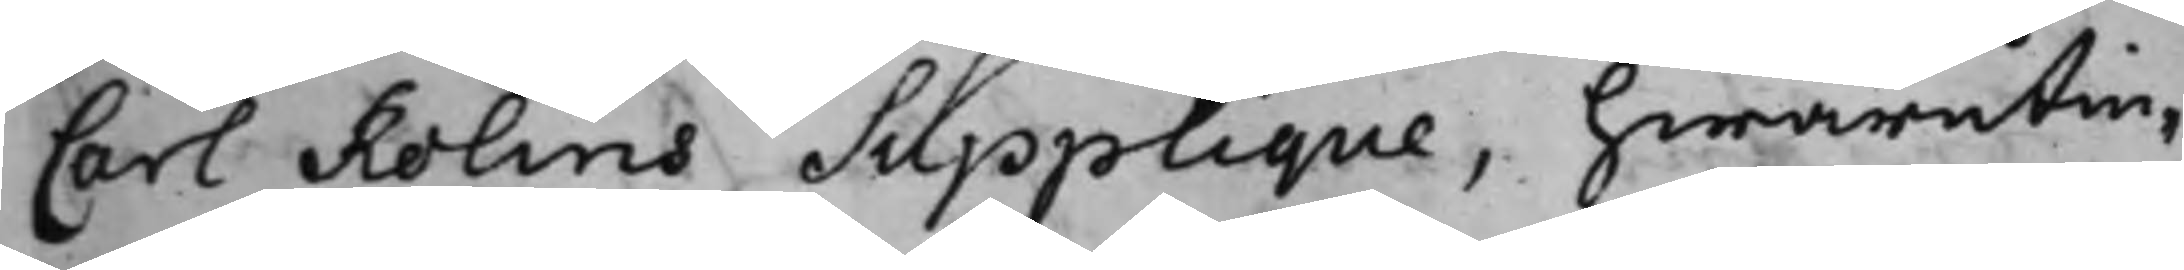Carl Rolins Supplique, hwarutin¬
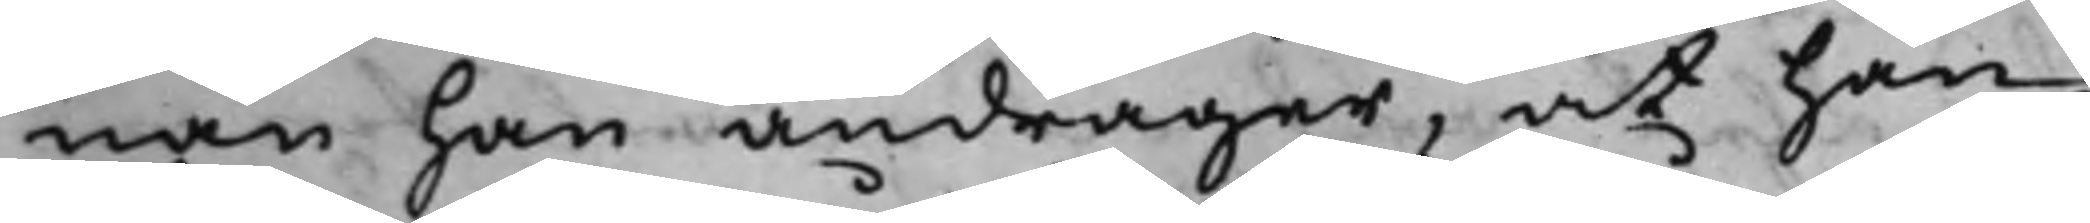nan han andrager, at han
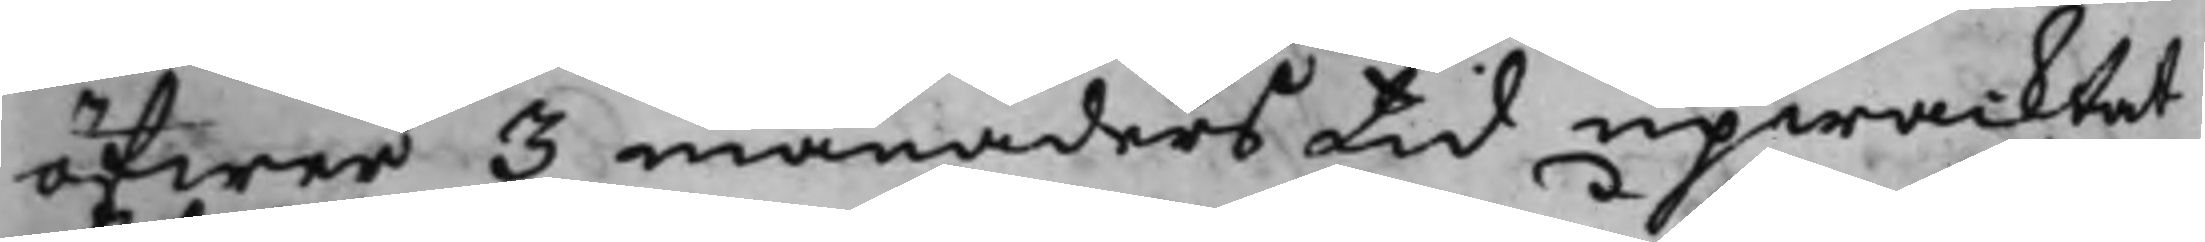öfwer 3 månaders tid upwacktat
